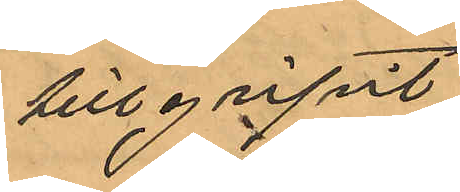tillgripit
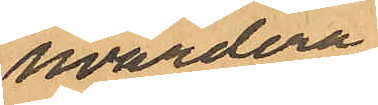hvardera
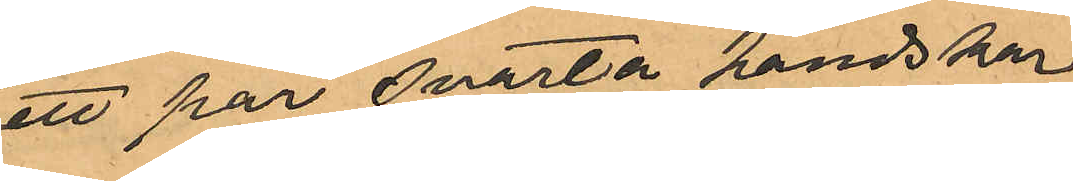ett par svarta handskar
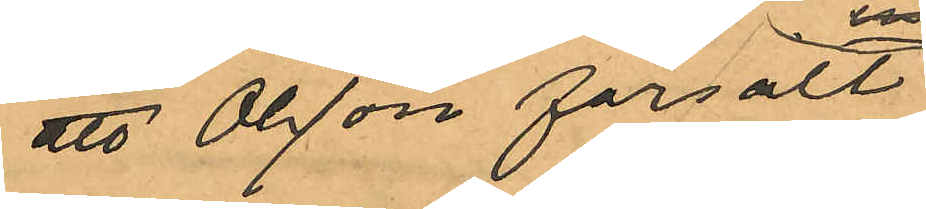att Olsson försålt
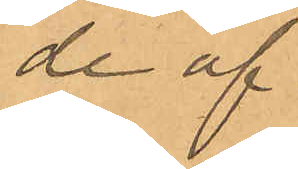de af
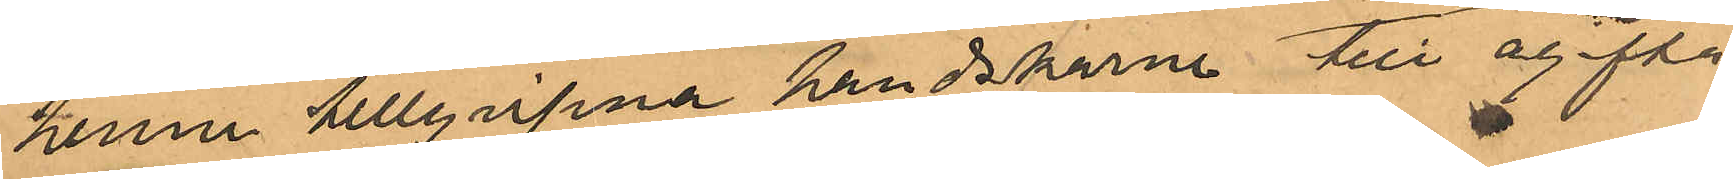henne tillgripna handskarna till ogifta
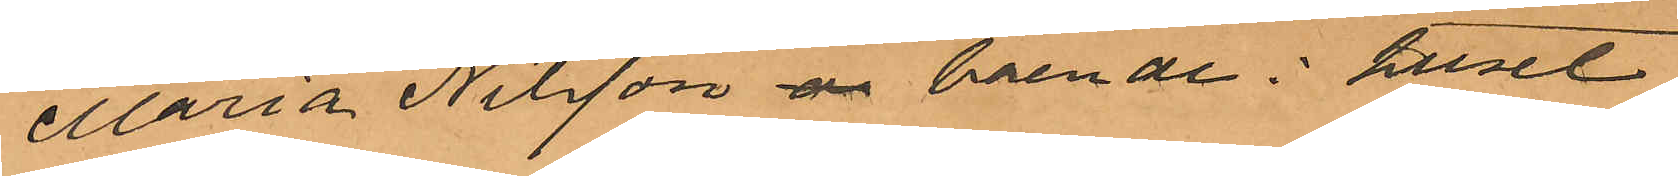Maria Nilsson är boende i huset
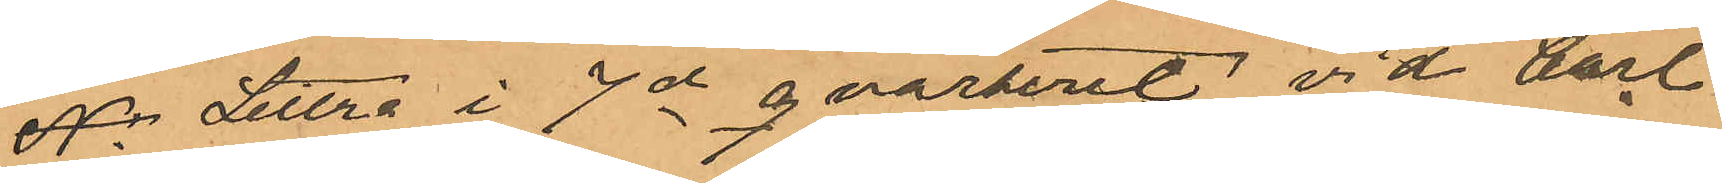Nr Littra i 7de qvarteret vid Carl
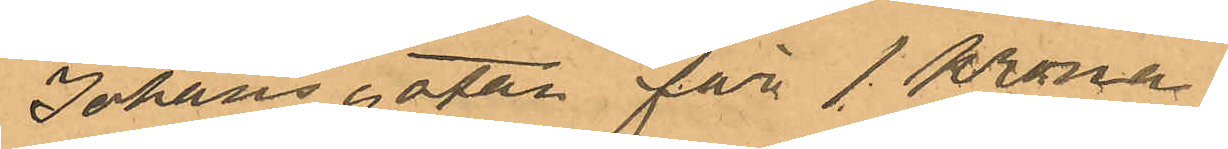Johansgatan för 1 Krona
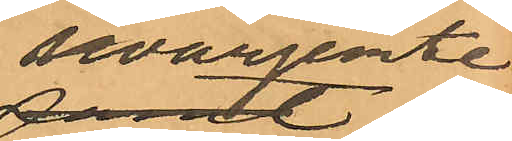hvarjemte
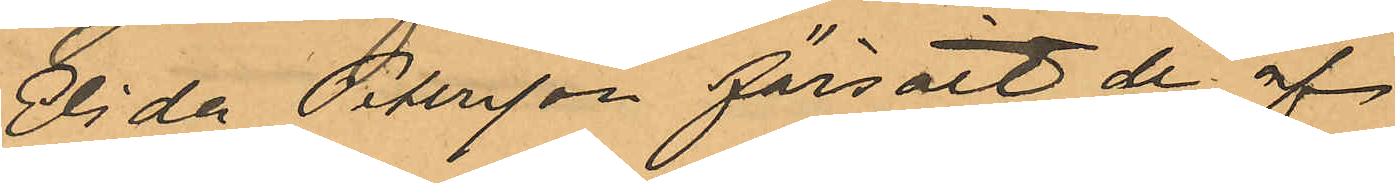Elida Petersson försålt de af
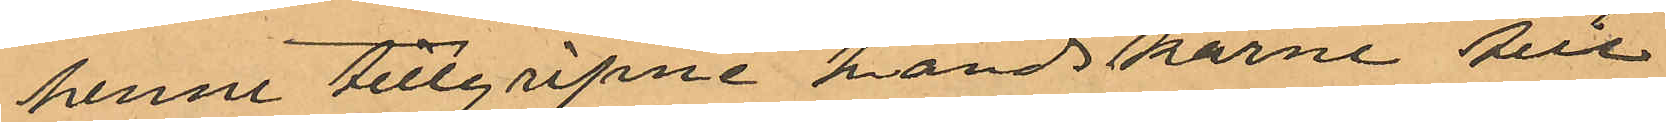henne tillgripne handskarne till
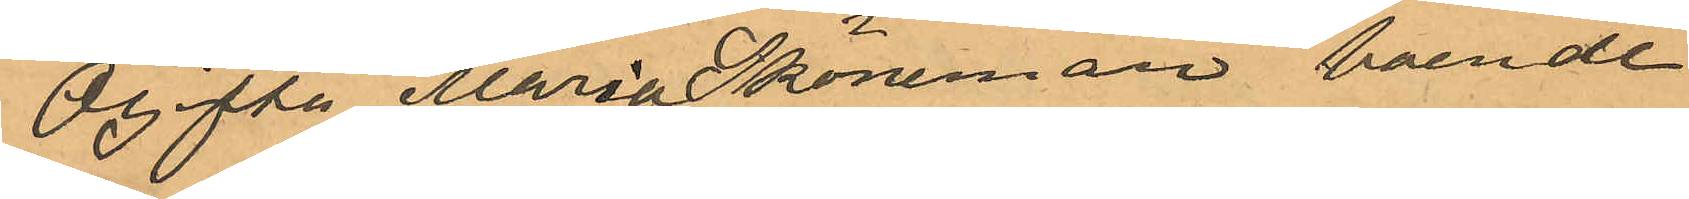Ogifta Maria Sköneman boende
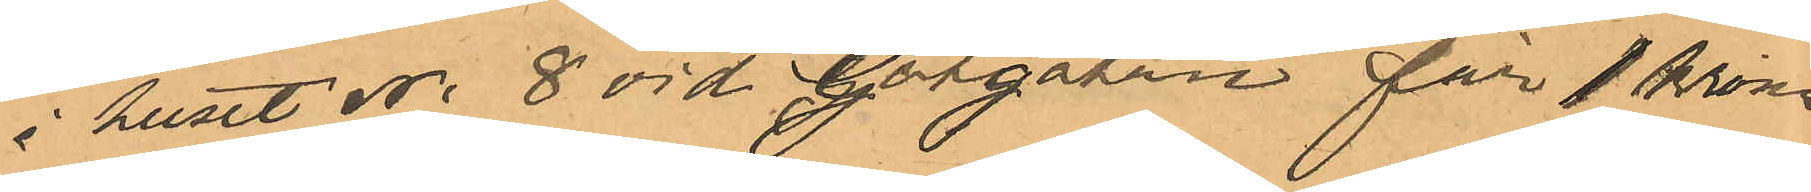i huset No 8 vid Götgatan för 1 krona,
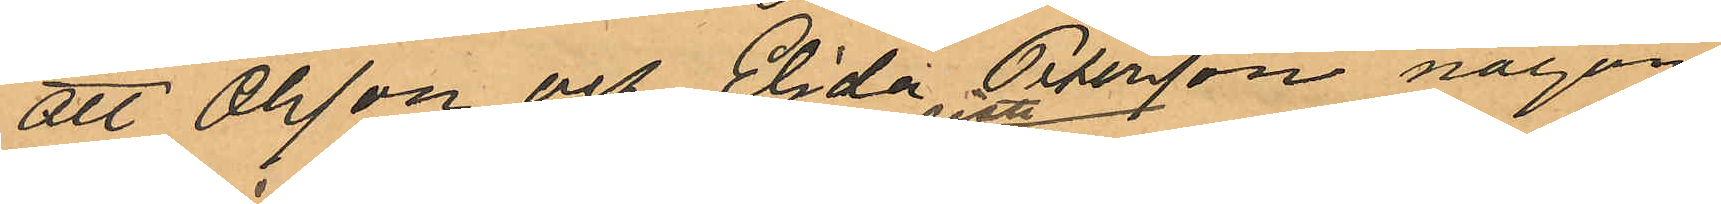att Olsson och Elida Petersson någon
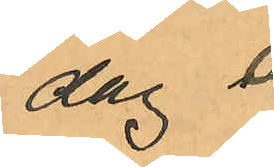dag i
